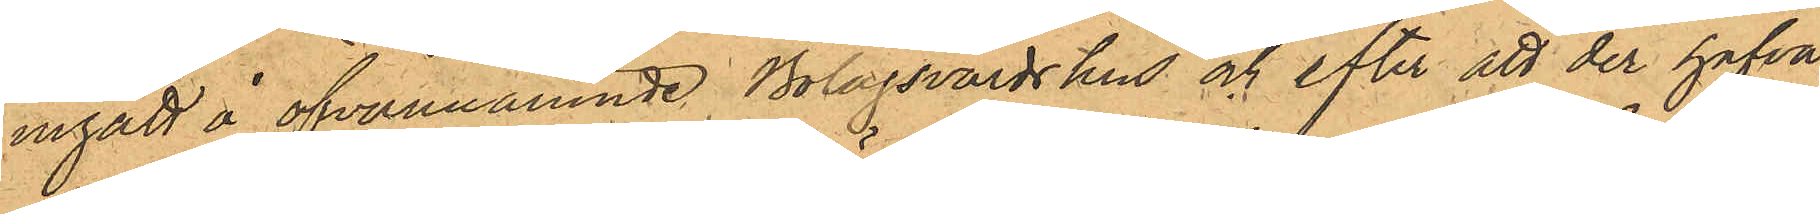ingått å ofvannämnde Bolagsvärdshus och efter att der hafva
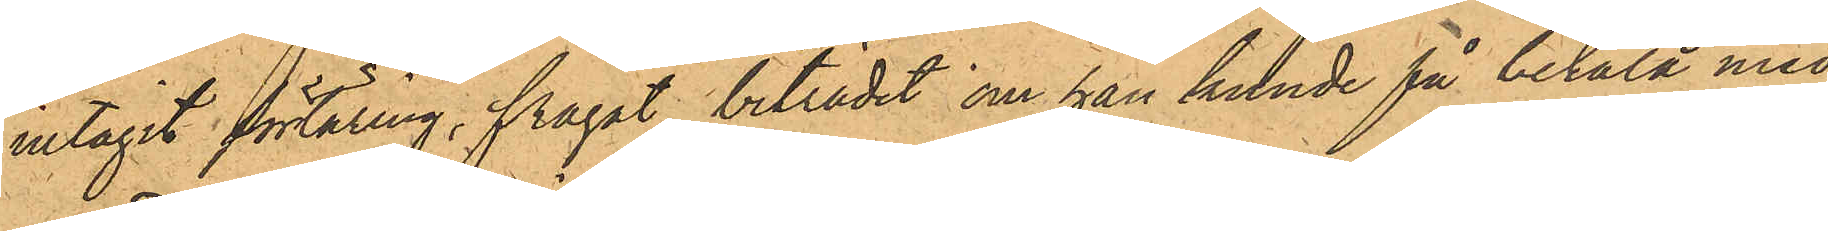intagit förtäring, frågat biträdet om han kunde få betala med
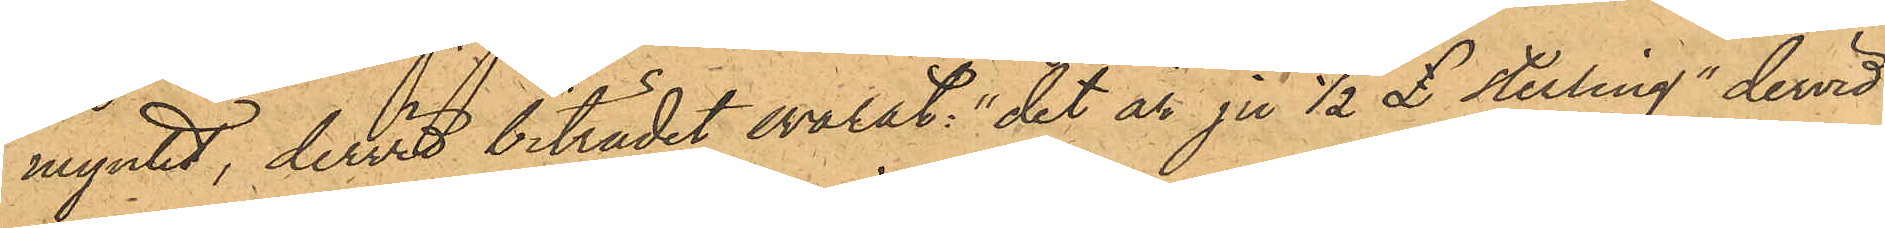myntet, dervid biträdet svarat: "det är ju 1/2 (pound) sterling", dervid
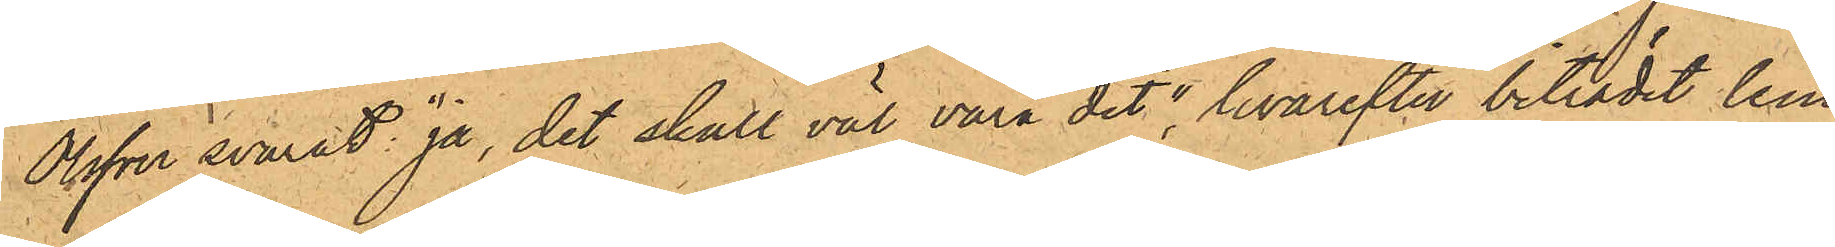Olsson svarat: "ja, det skall väl vara det", hvarefter biträdet lem¬
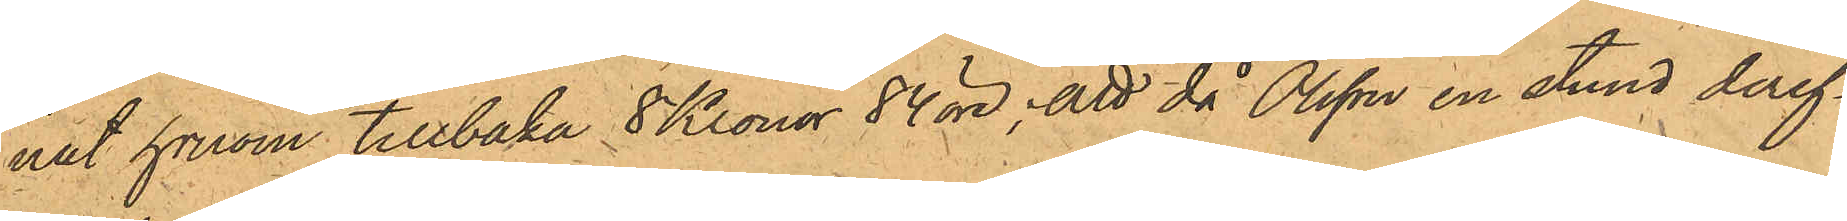nat honom tillbaka 8 Kronor 84 öre; att då Olsson en stund deref¬
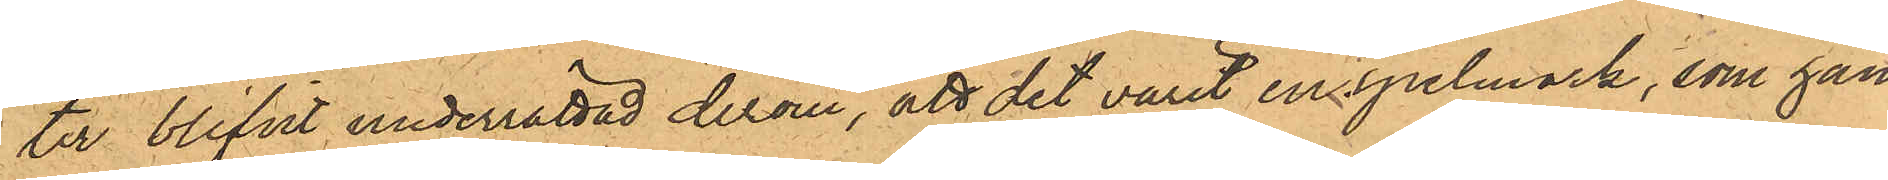ter blifvit underrättad derom, att det varit en spelmark, som han
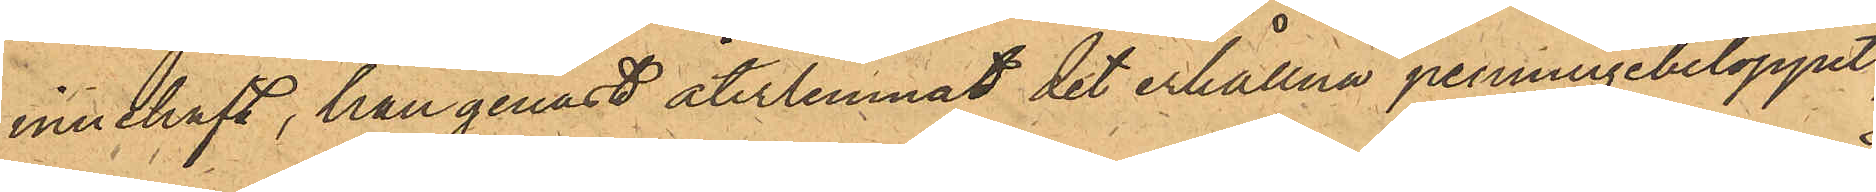innehaft, han genast återlemnat det erhållna penningebeloppet,
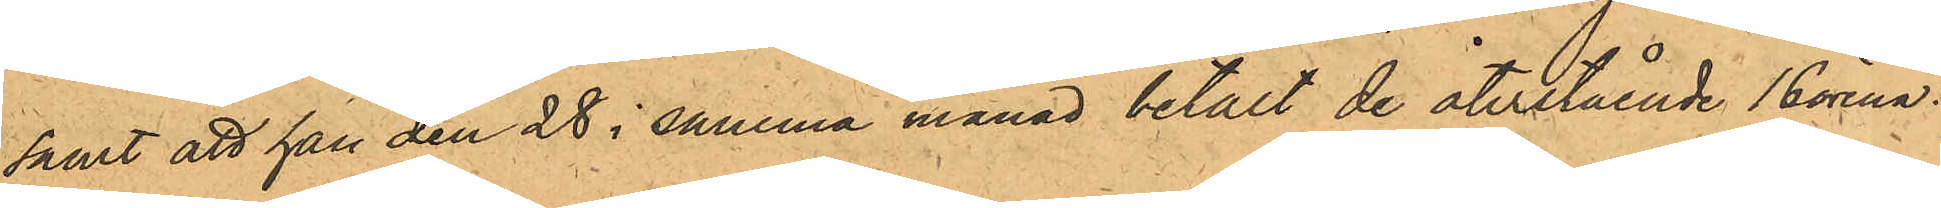samt att han den 28 i samma månad betalt de återstående 16 örena.
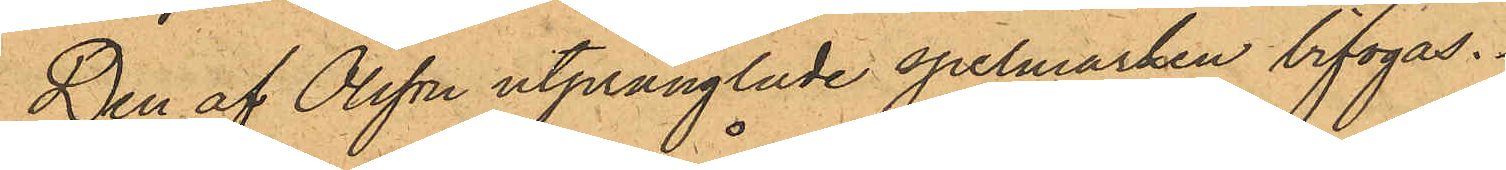Den af Olsson utprånglade spelmarken bifogas.
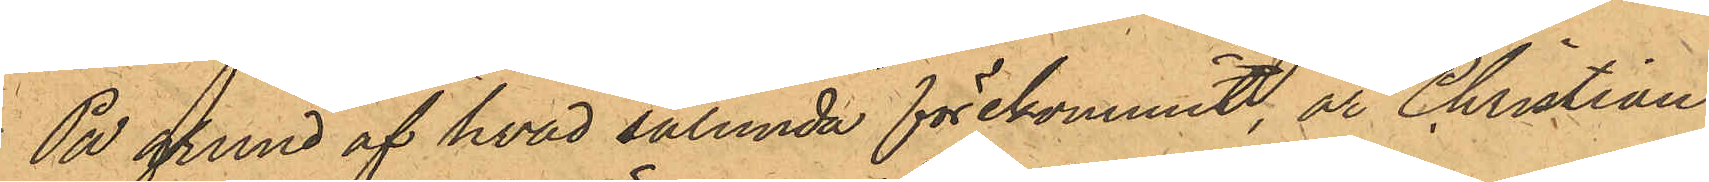På grund af hvad sålunda förekommit, är Christian
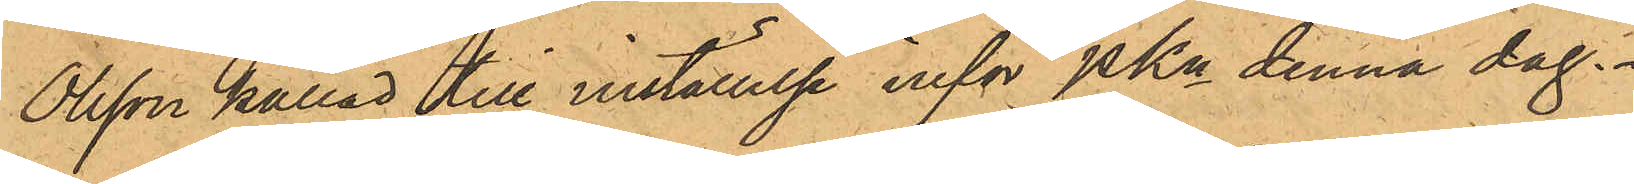Olsson kallad till inställelse inför PKn denna dag.
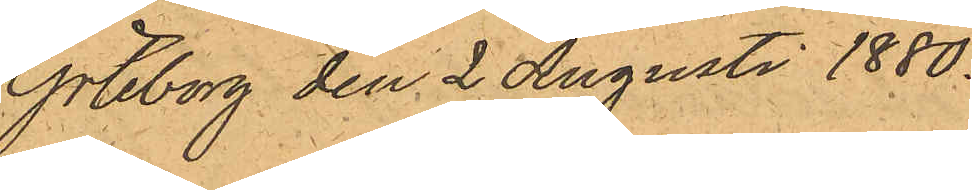Göteborg den 2 Augusti 1880.
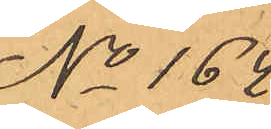No 164.
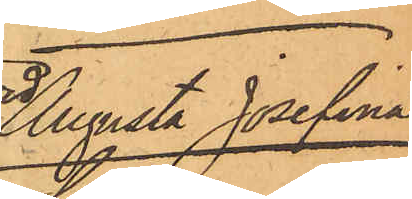Augusta Josefina
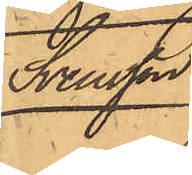Svensson.
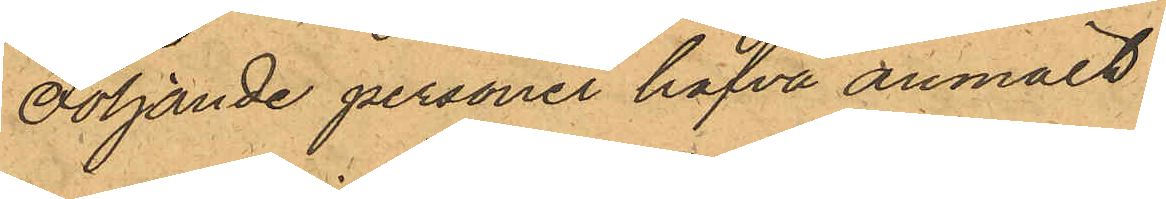Följande personer hafva anmält:
